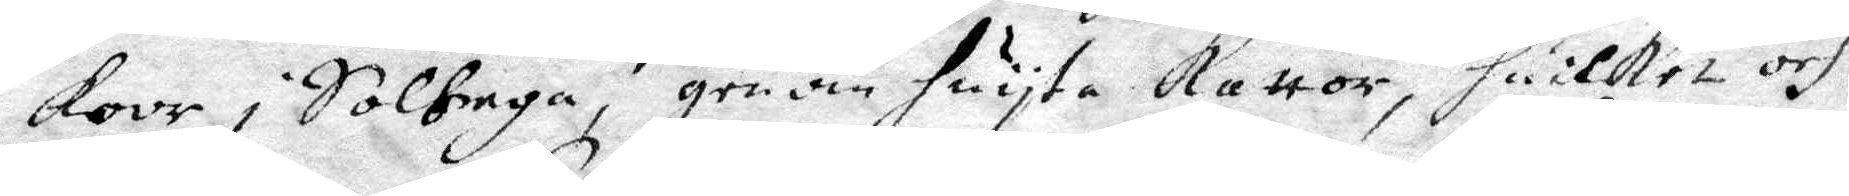koor i Solhaga, genom huyta kattor, huilhet och
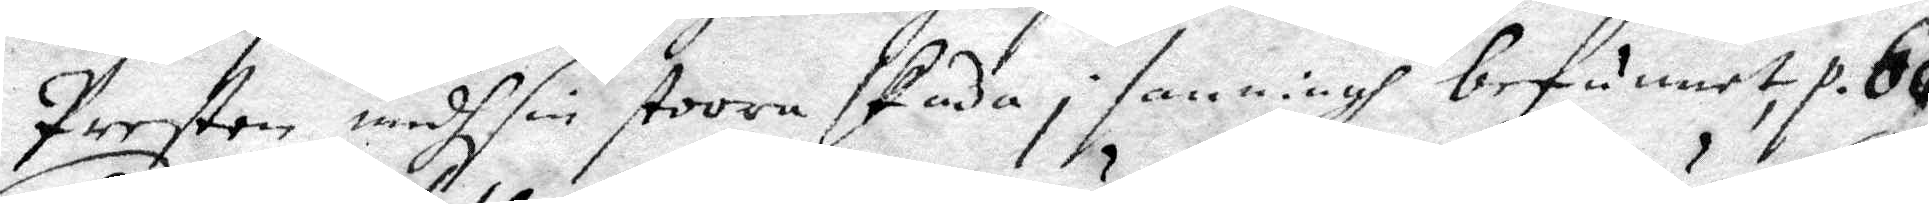Presten medh sin stoora skada i sanningh befunnit, p. 60.
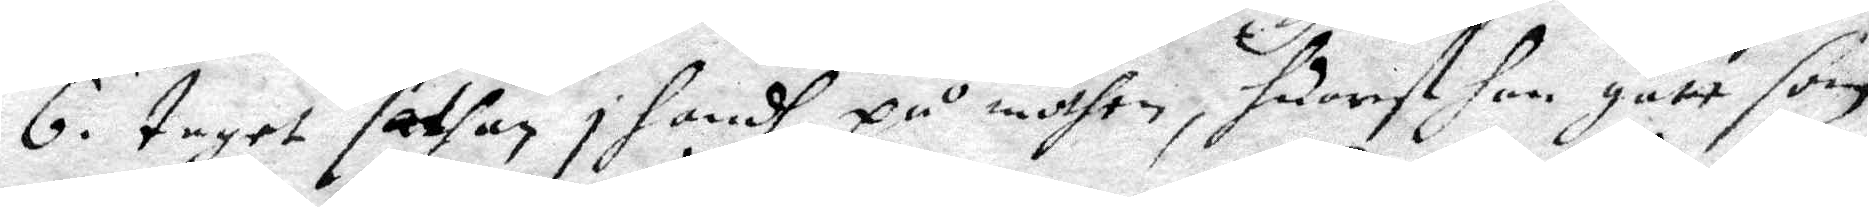6. taget sathan i handh, på möthen, huarest han gått som
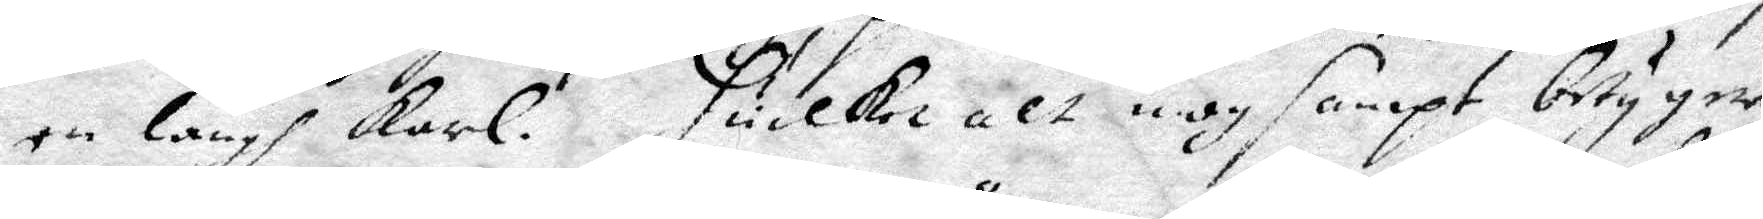en lång karl. huilket alt nog sampt betyger
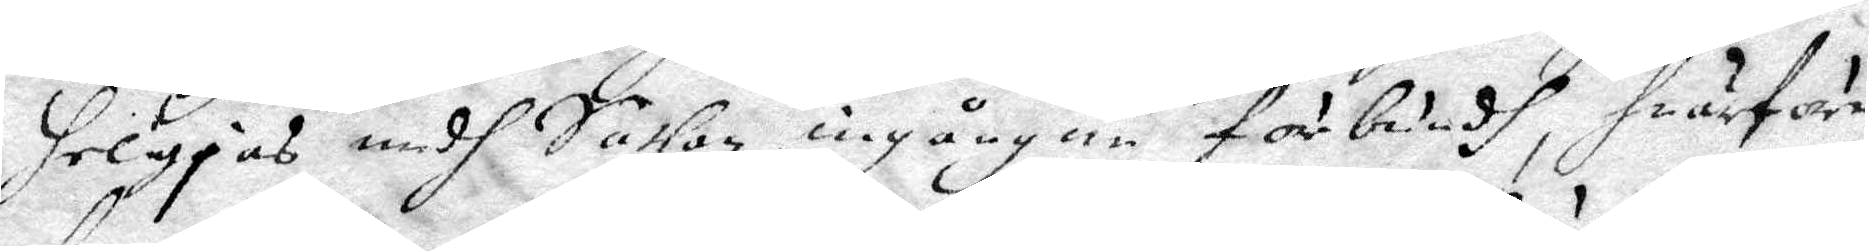heligjas medh Sathan ingångne förbundh, huarföre
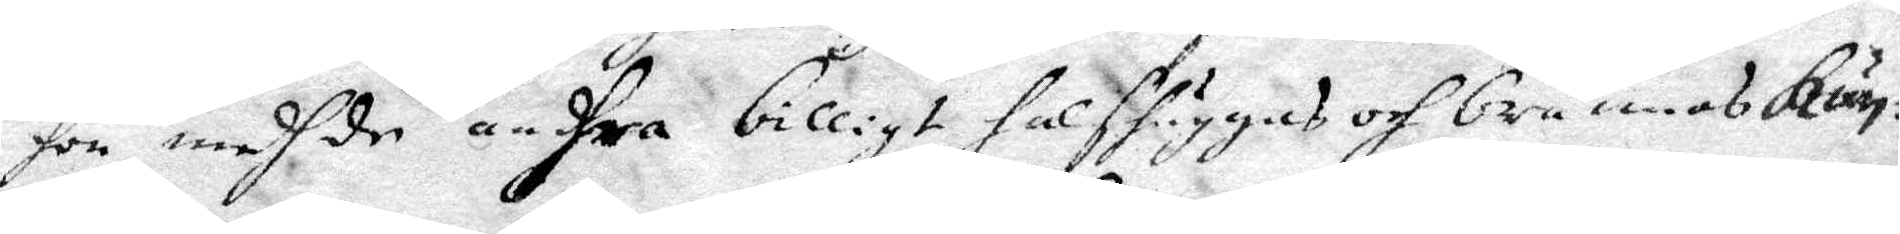hon medh de andhra billigt halshuggas och brännas kun¬
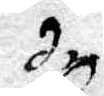de.
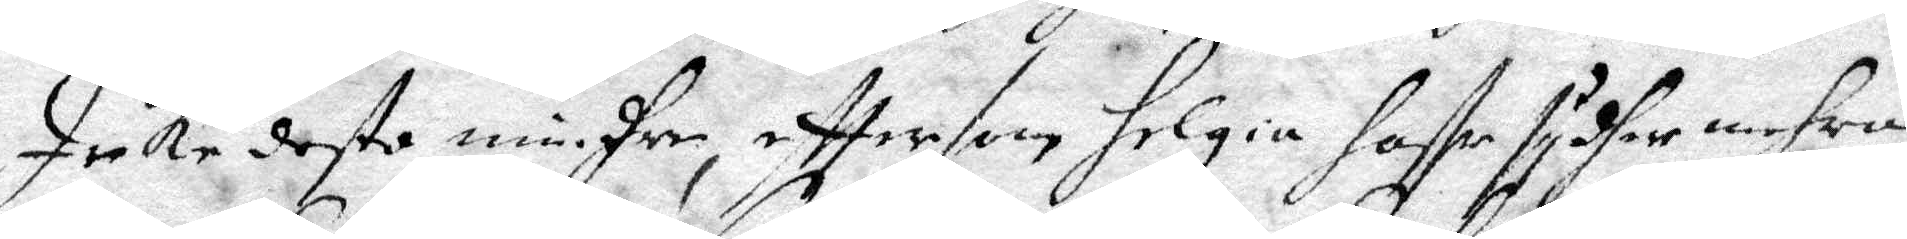Icke desto mindhre, efttersom Helgia haffr sydher mehra
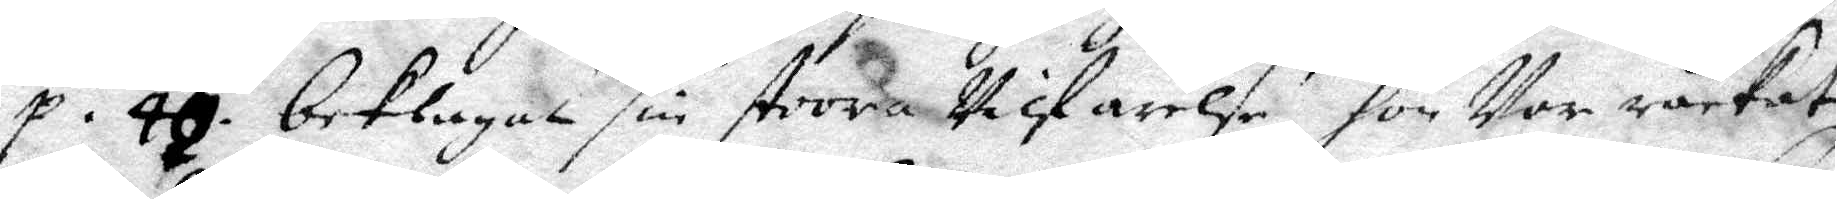p. 46. beklagat sin stoora Vilfarelse hon Var råkat
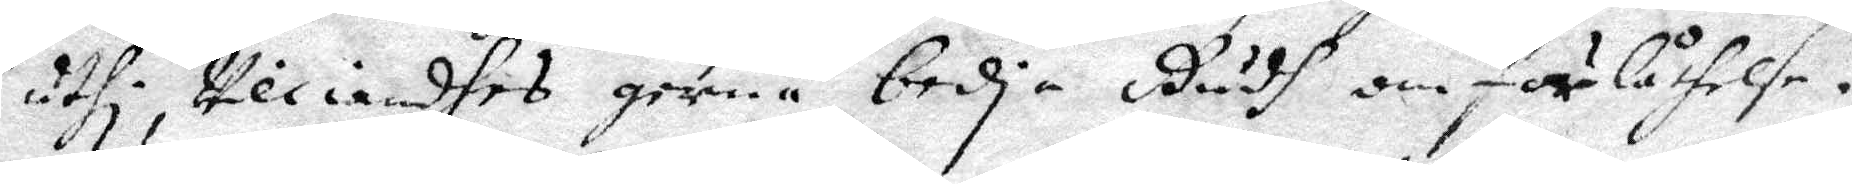uthi, Viliandhes gerna bedja Gudh om förlåtelse.
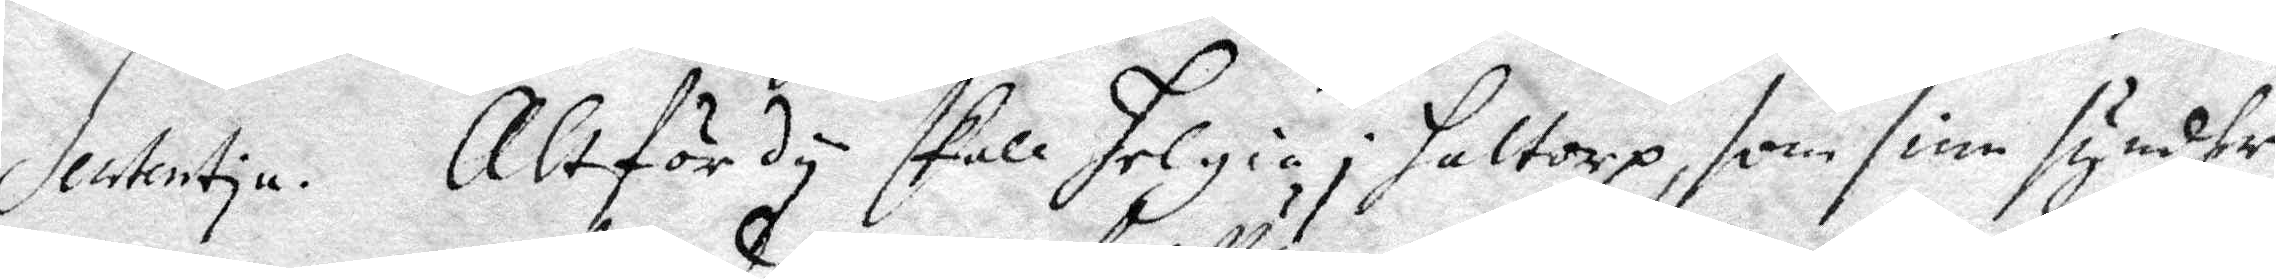Sententia. Altför dy skall Helgia i Haltorp, som sine syndher
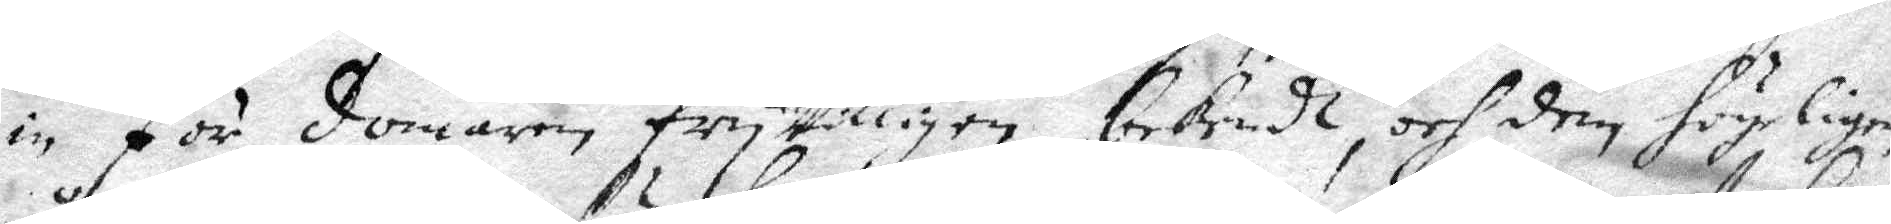in för domaren fryVilligen bekendt, och dem högeligen
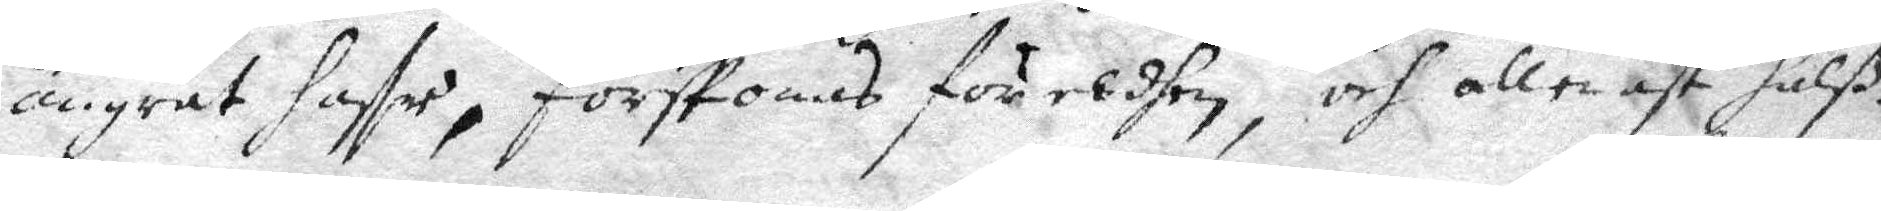ångrat haffr, förskonas för eldhen, och allenast halß¬
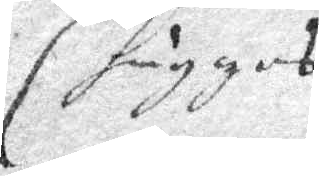huggas
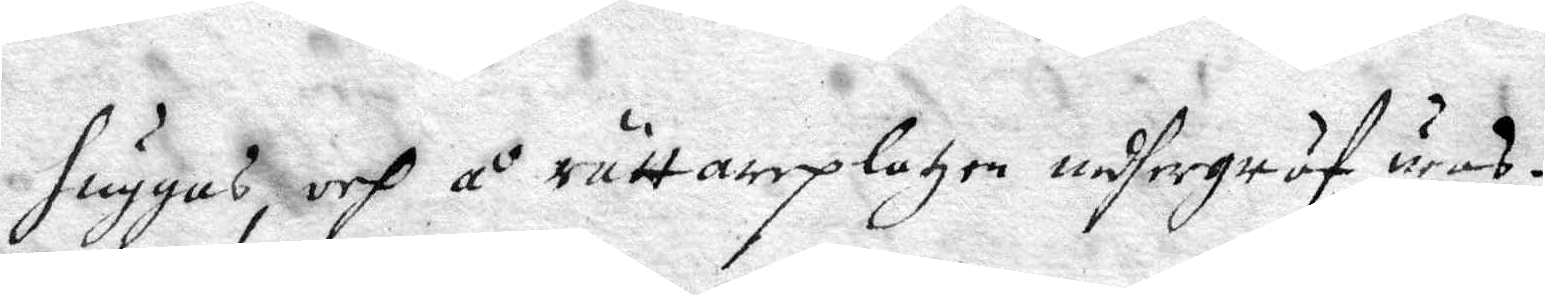huggas, och på rättareplatzen nedgräfwas.
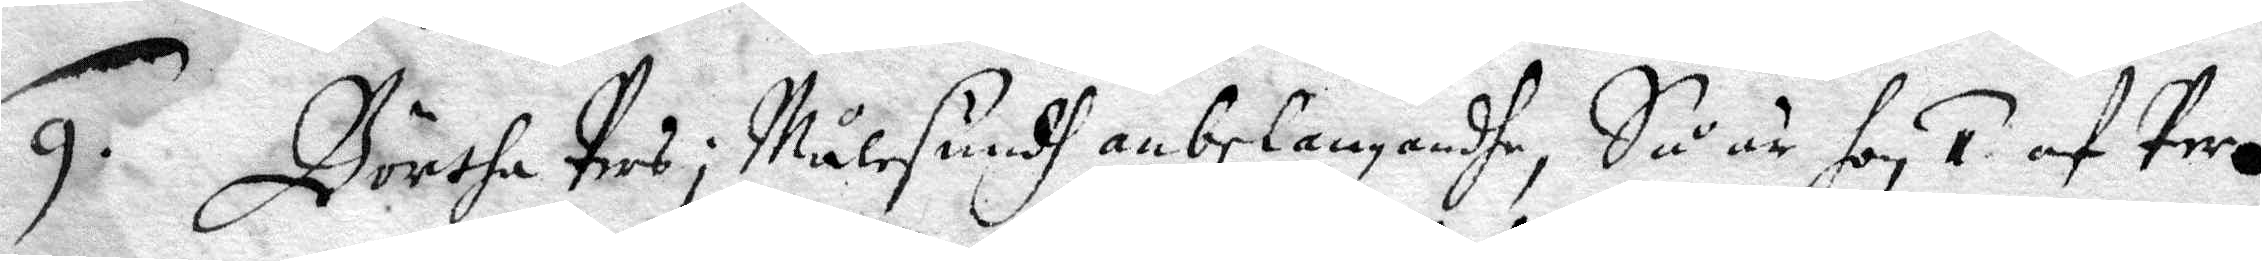9. Börtha Pers i Målesundh anbelangandhe, Så är hon, 1. af Per
